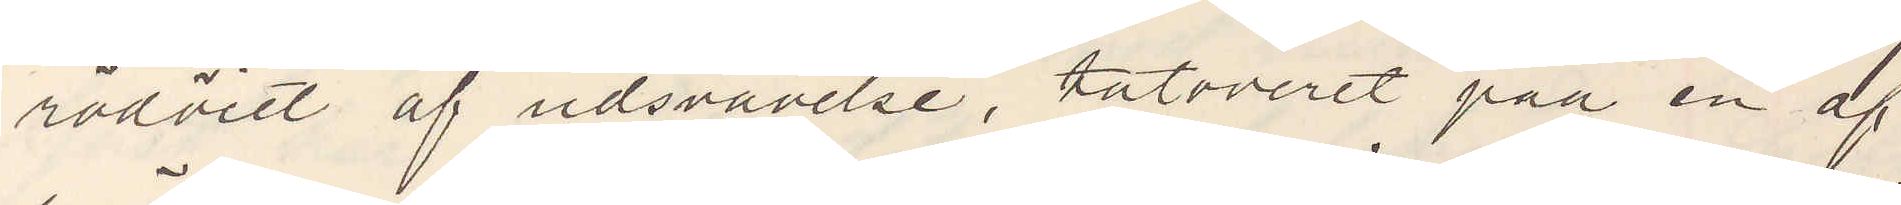rödöiet af udsvävelse, tatooeret paa en af
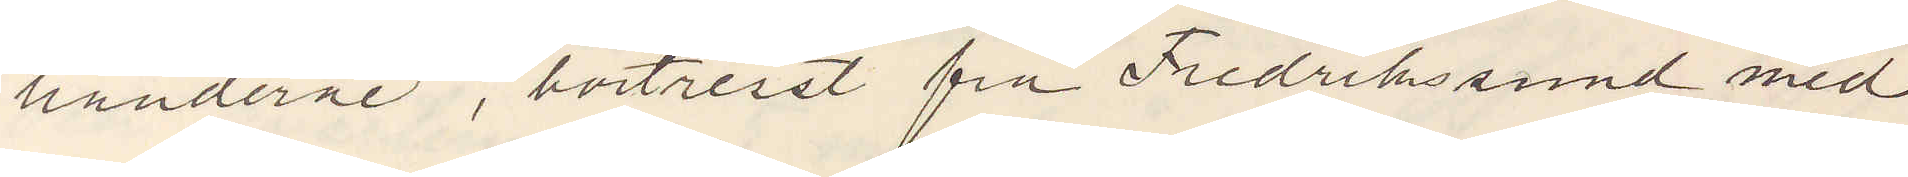händerne, bortreist fra Fredrikssund med
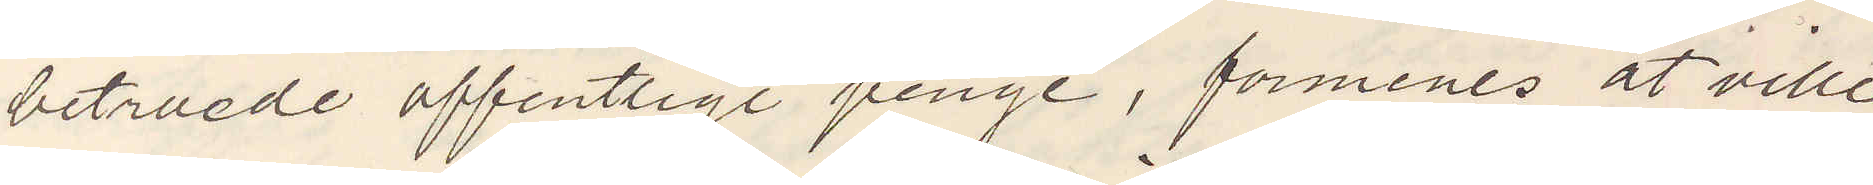betruede offentlige penge, formenes at ville
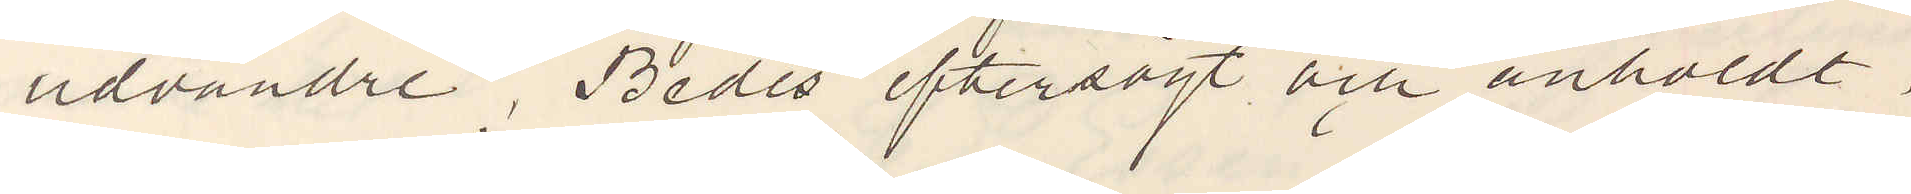udvandre. Bedes eftersögt och anholdt
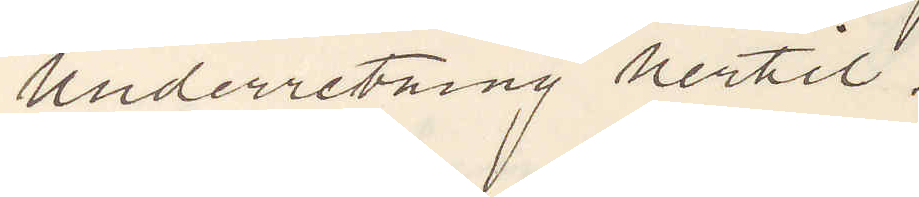underretning hertil.
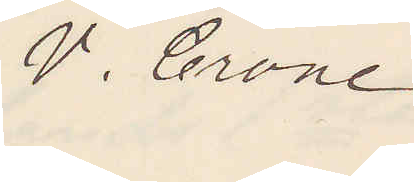V. Crone.
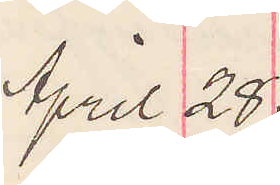April 28.
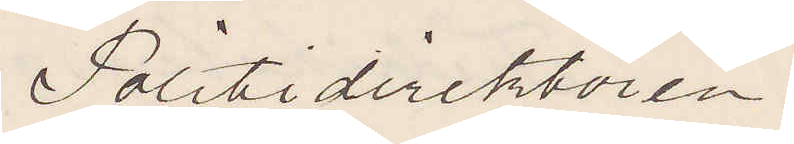Politidirektören.
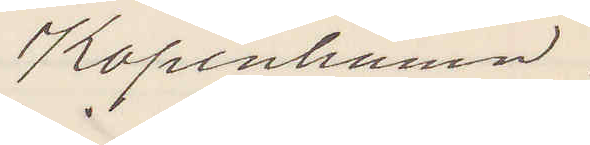Köpenhamn.
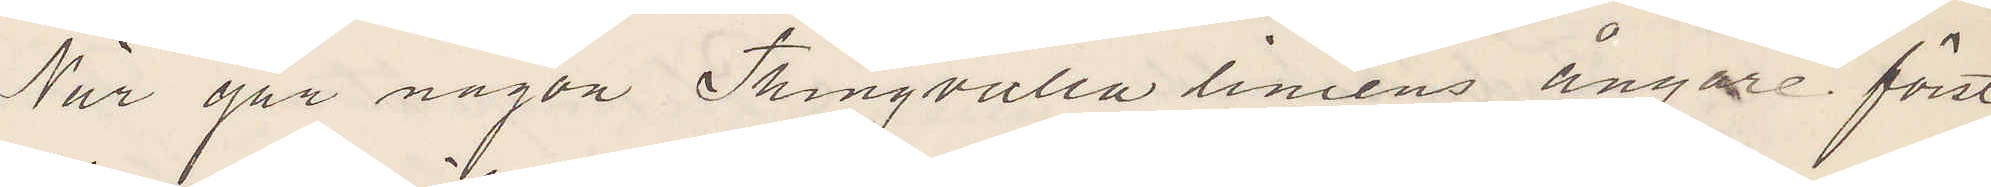När går någon Thingvalla liniens ångare först
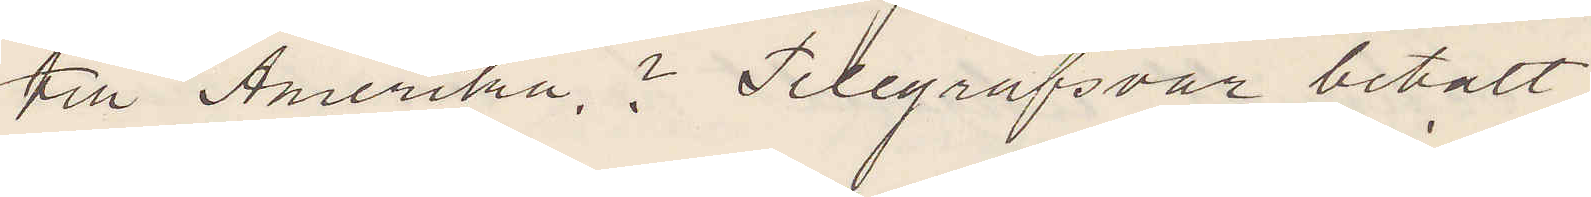till Amerika.? Telegrafsvar betalt.
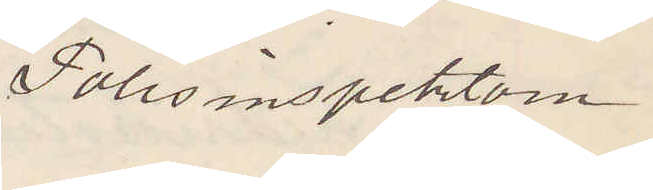Polisinspektorn
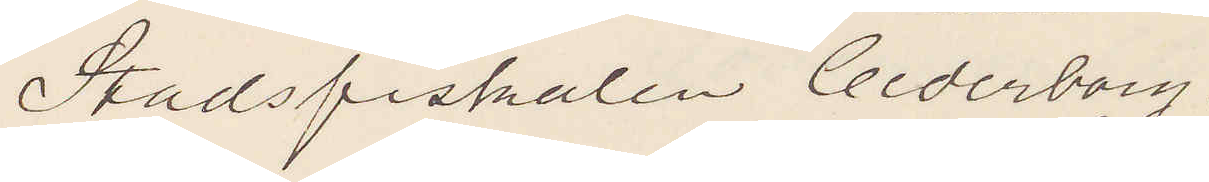Stadsfiskalen Cederborg.
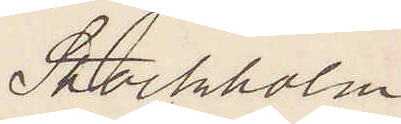Stockholm
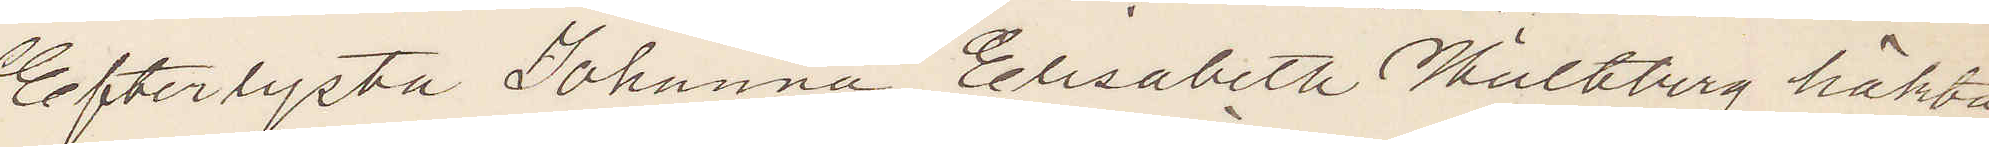Efterlysta Johanna Elisabeth Hultberg häkta¬
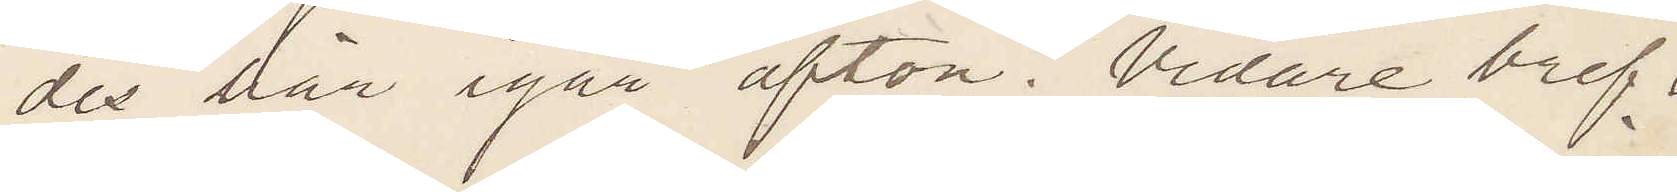des här igår afton. Vidare bref
